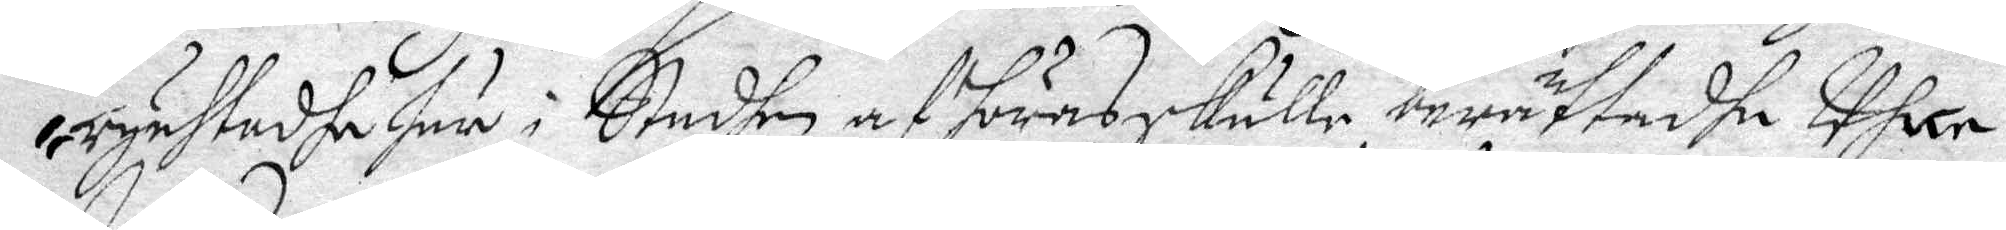rychtadhe här i Staden afhöras skulle, berättadhe Uh..
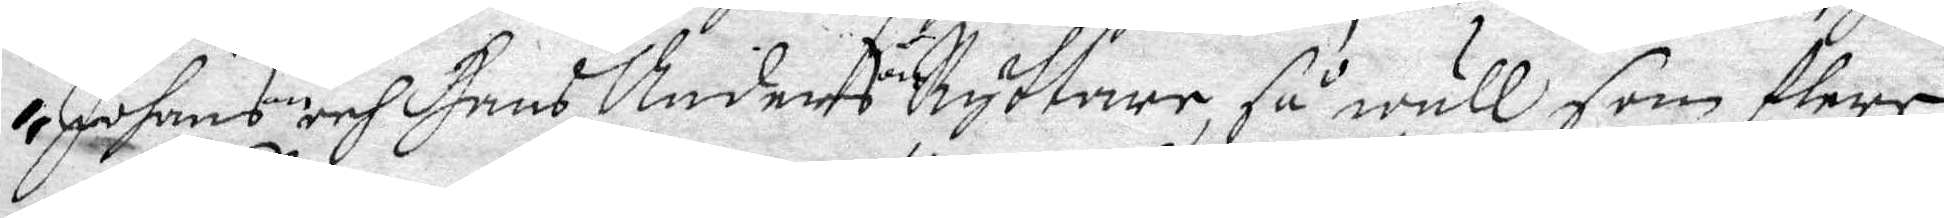Johans och Hans Anderson Ryttare, så wäll som flere
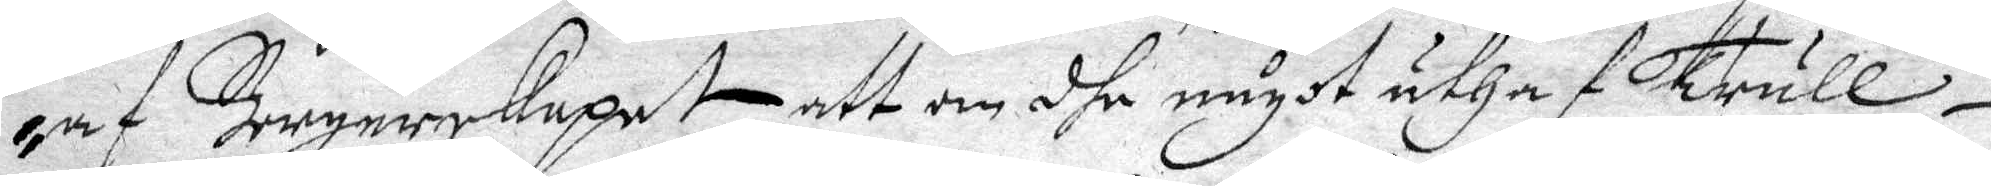af Borgerskapet att om dhe något uthaf Trull¬
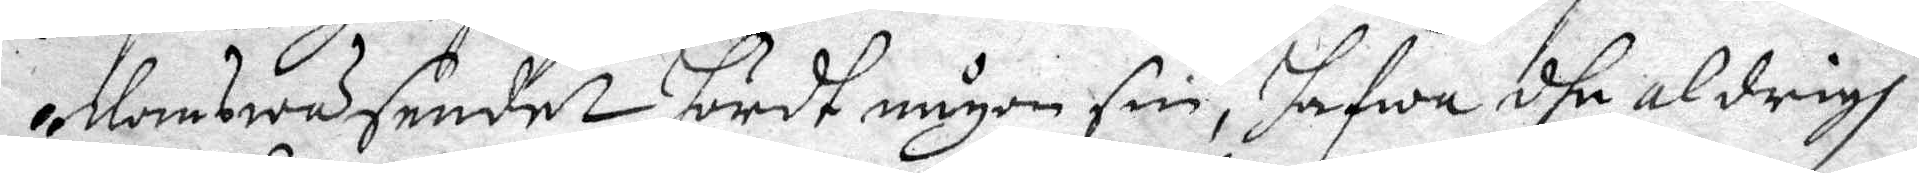domswäsendet hördt någon sin, hafwa dhe aldrig
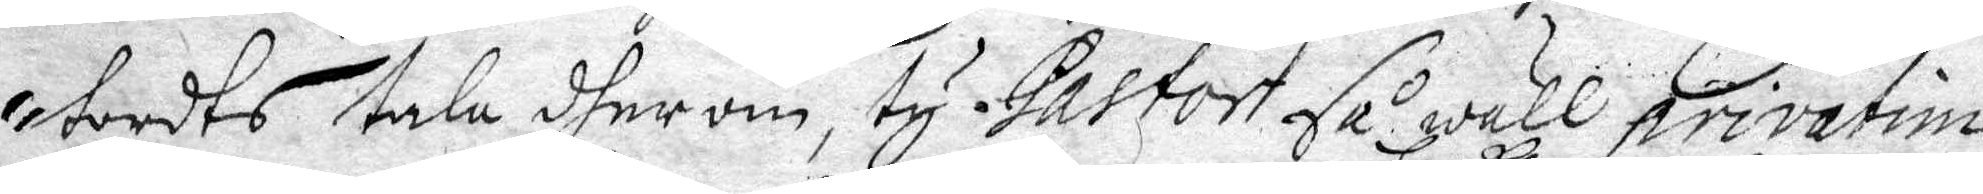torts tala dherom, ty Pastori så wäll privatim
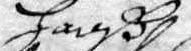hoß
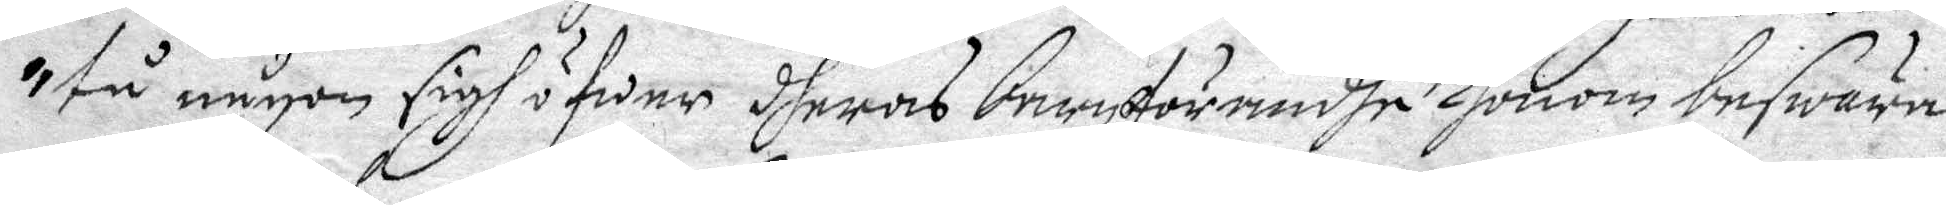tå någon sigh öfwer dheras barnförandhe honom beswära
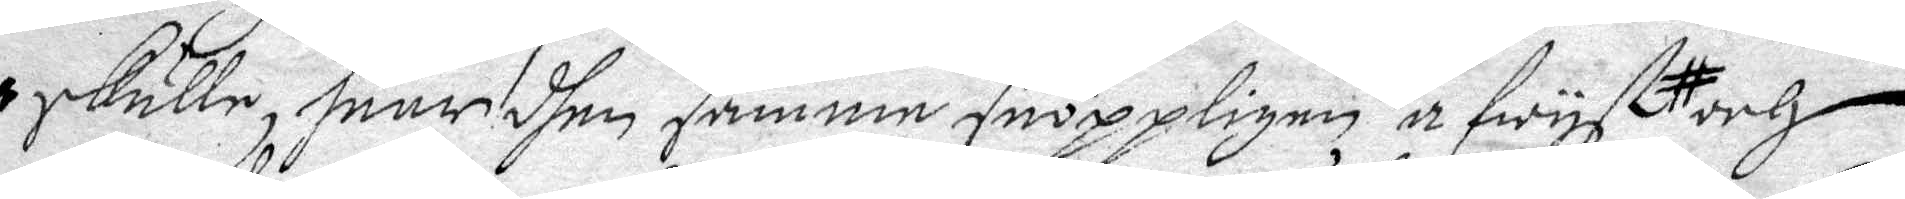skulle, huar dhen samme snöppligen afwyst,
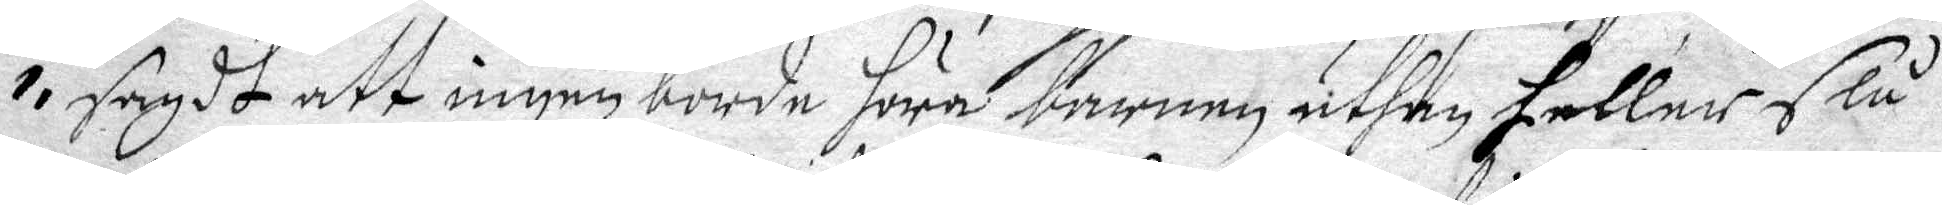sagdt att ingen borde höra barnen uthan heller slå
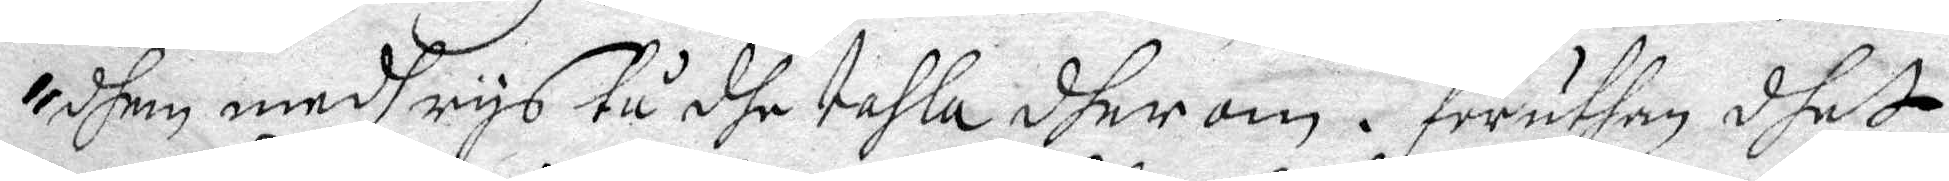dhem medh rys tå dhe tahla dher om. föruthan dhet
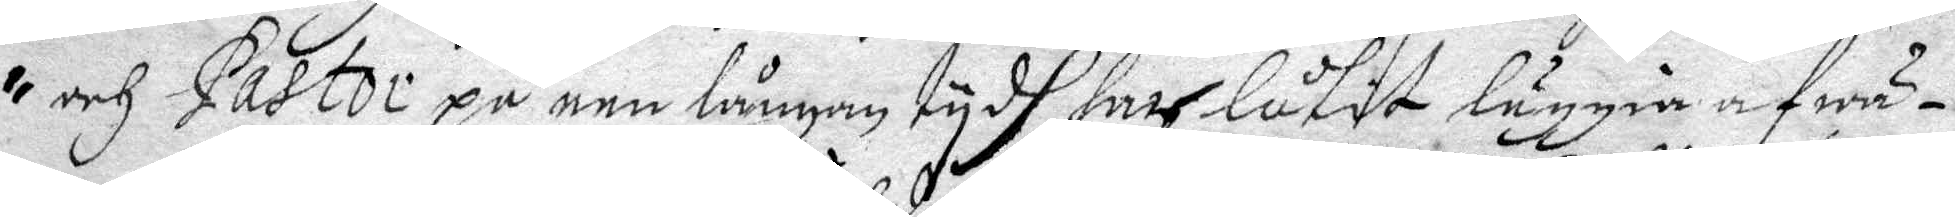och Pastor på een långan tydh haar låtit luggia af wä¬
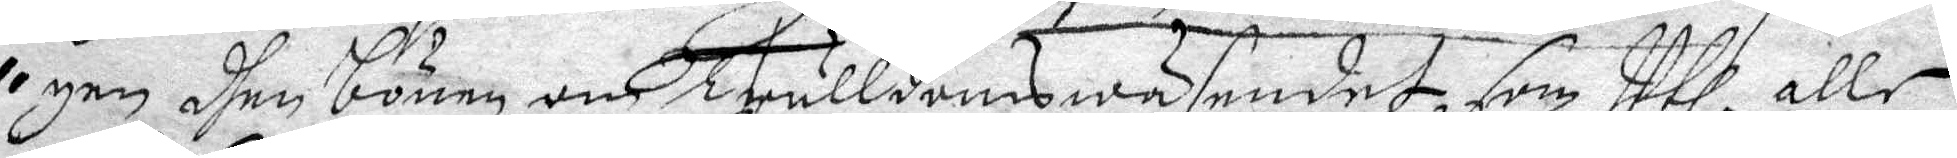gen dhen bönen om Trulldomswäsendet, som Uthi alle
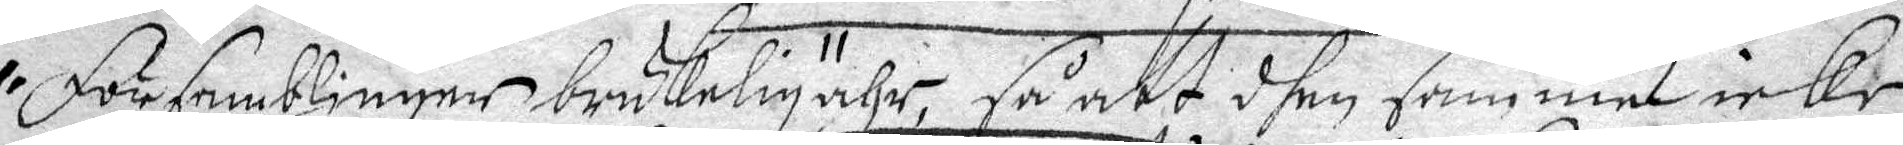Församblinger brukelig ähr, så att dhen samme icke
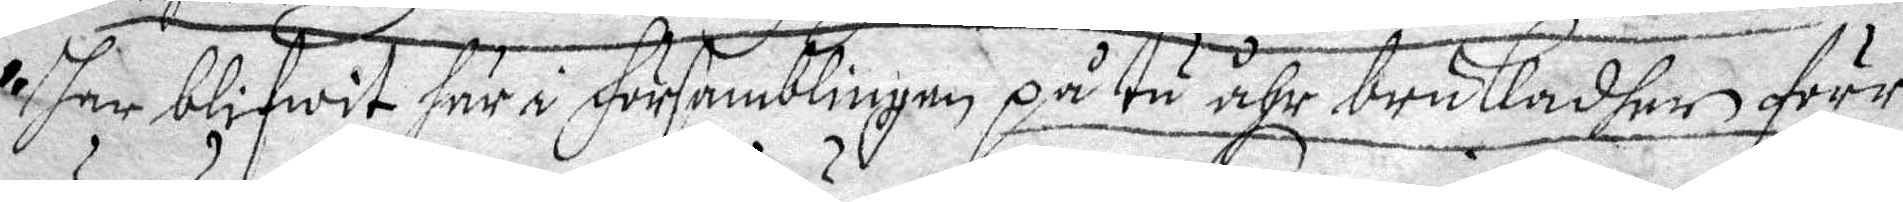har blifwit här i Församblingen på tu åhr brukadher förr
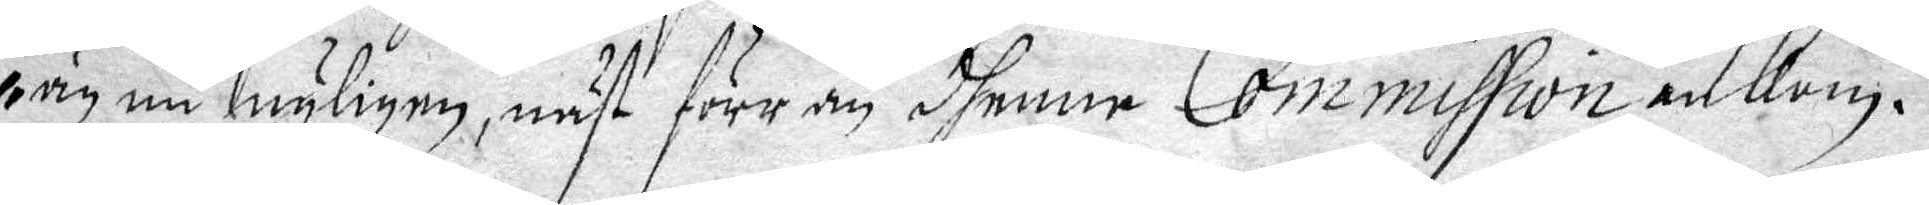än nu nyligen, näst förr än dhenne Commission ankom.
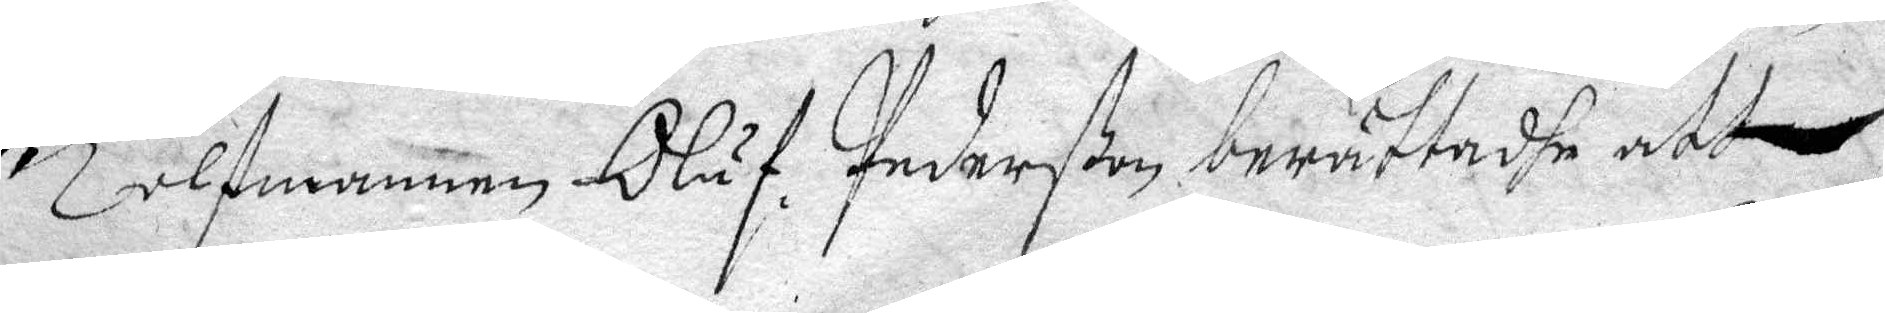Tolfmannen Oluf Pederßon berättadhe att
